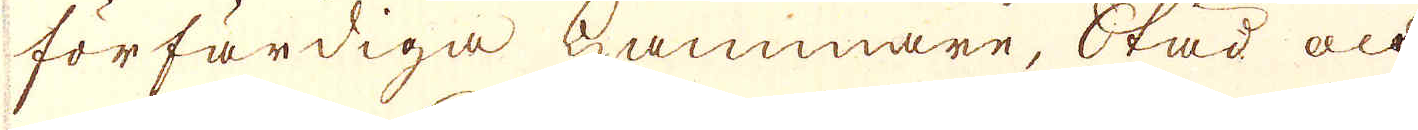förfärdiga Hammare, Städ och
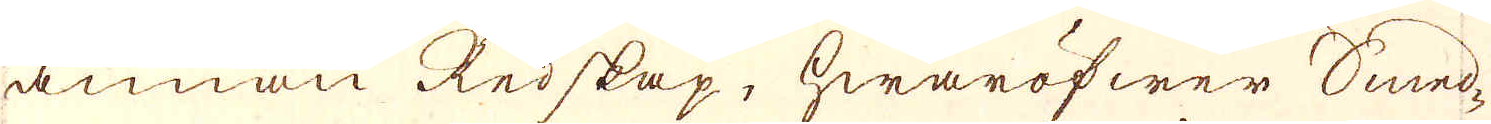annan Redskap, hwaröfwer Smed-
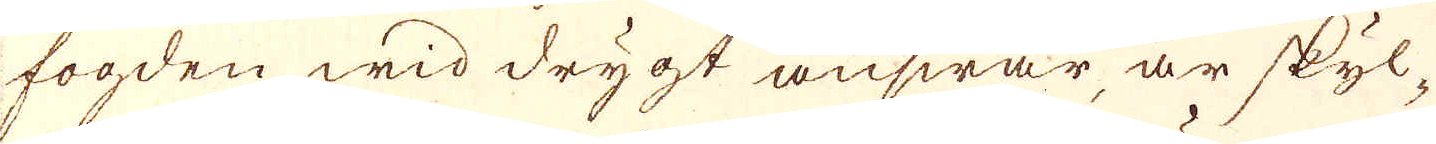fogden wid drygt answar, är skyl-
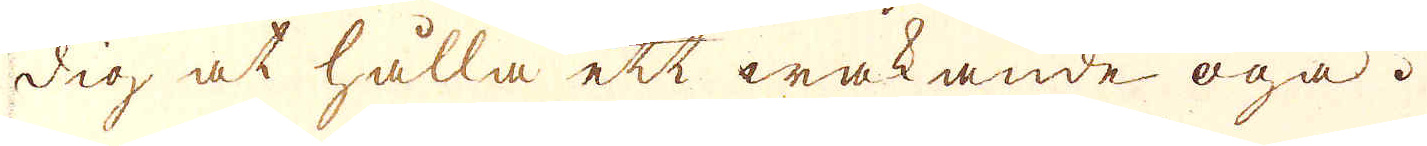dig at hålla ett wakande öga.
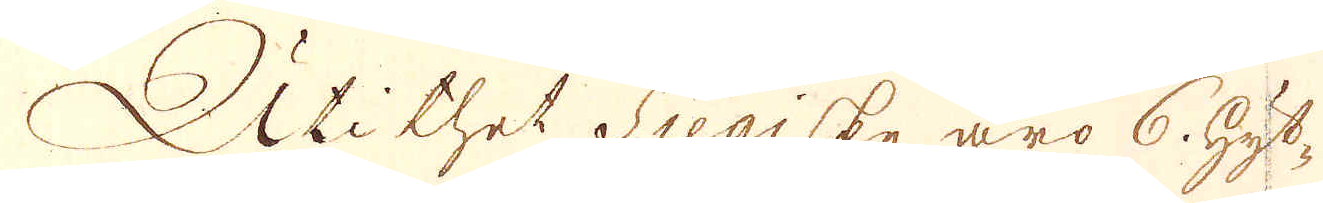Uti thet Siegiske äro 6. hyt-
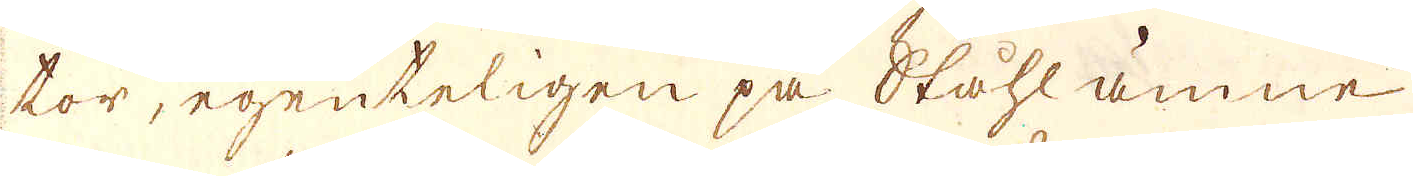tor, egenteligen på Ståhl ämnen
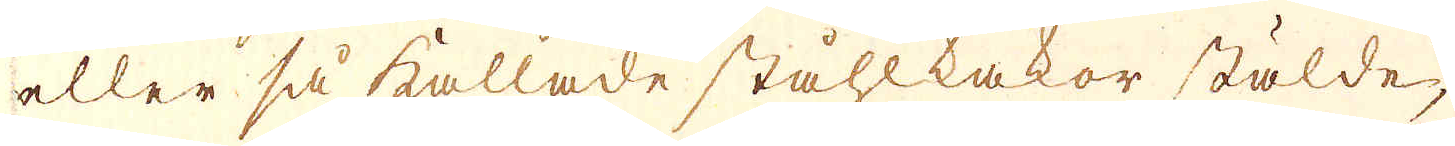eller så kallade ståhlkakor stälde
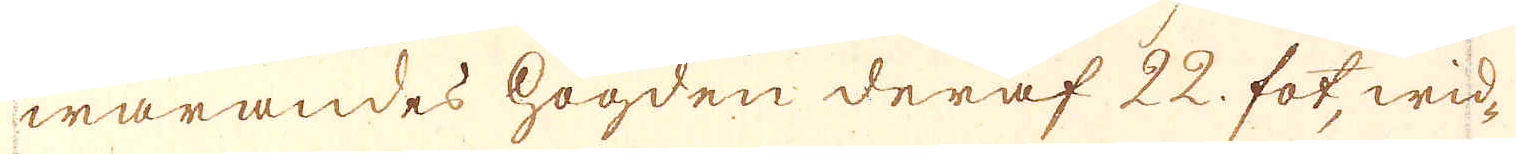warandes högden deraf 22. fot, wid-
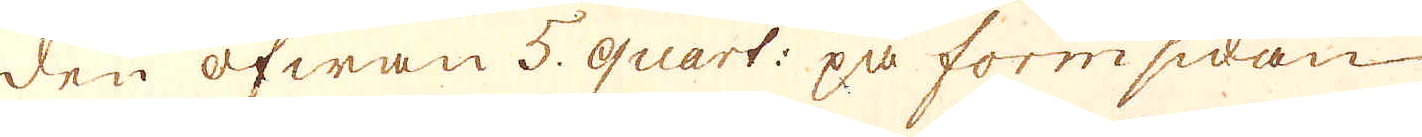den ofwan 5. quart: på formsidan
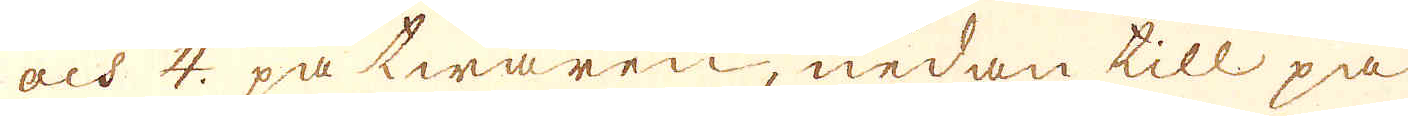och 4. på twären, nedan till på
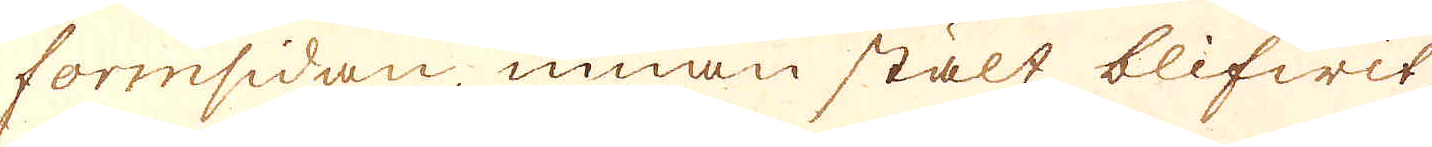formsidan, innan stält blifwit
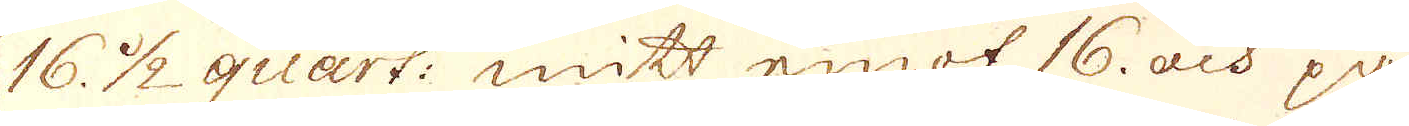16 1/2 quart: mitt emot 16. och på
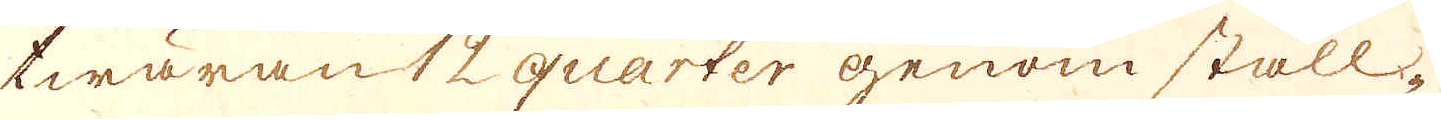twäran 12 quarter genom ställ-
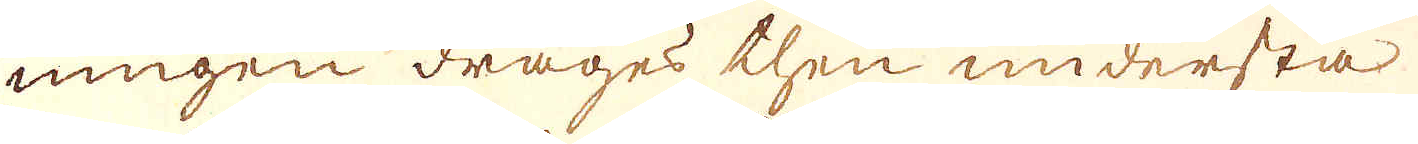ningen drages then understa
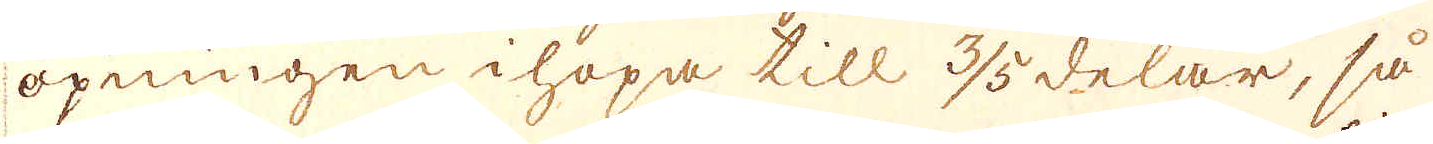öpningen ihopa till 3/5 delar, så
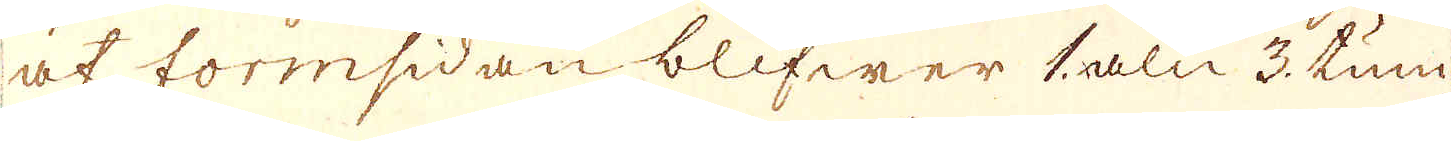at formsidan blifwer 1 aln 3. tum
